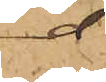d
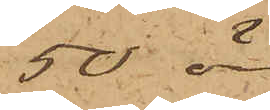50 öre
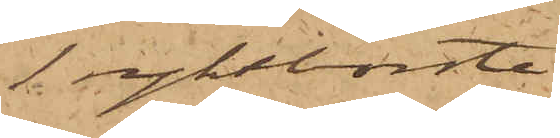1 ryktborste
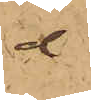d
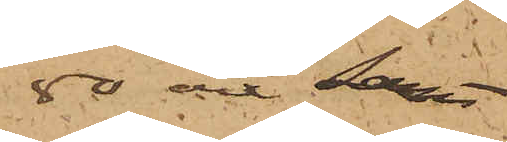80 öre samt
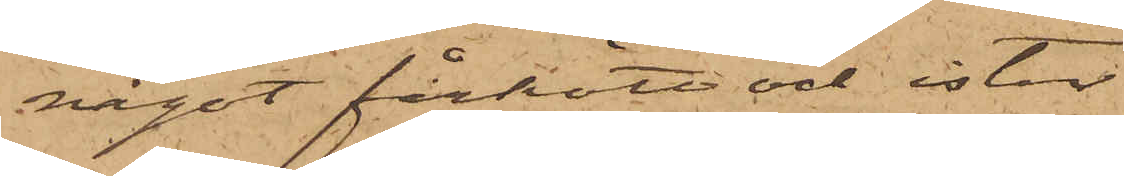något fårkött och ister
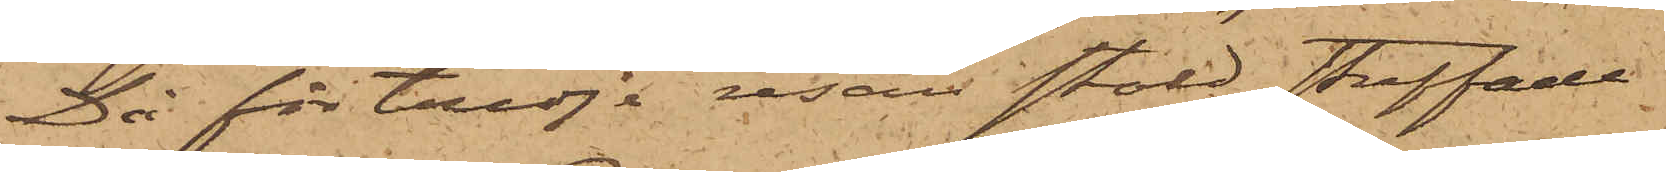Då för tredje resan stöld straffade
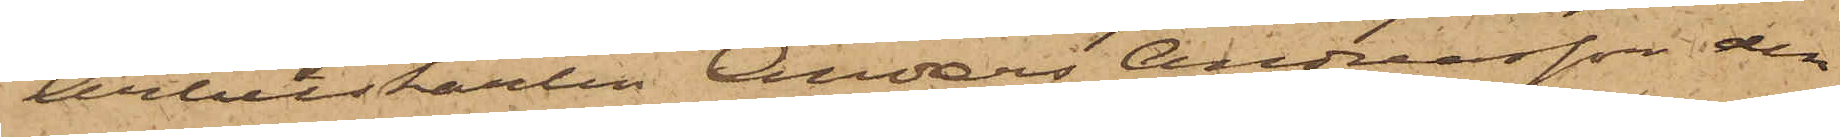Arbetskarlen Anders Andreasson den
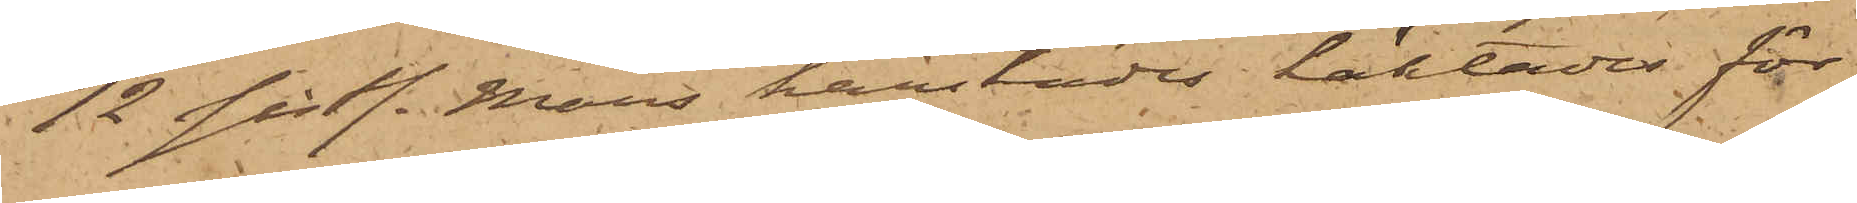12 sistl. Mars härstädes häktades för
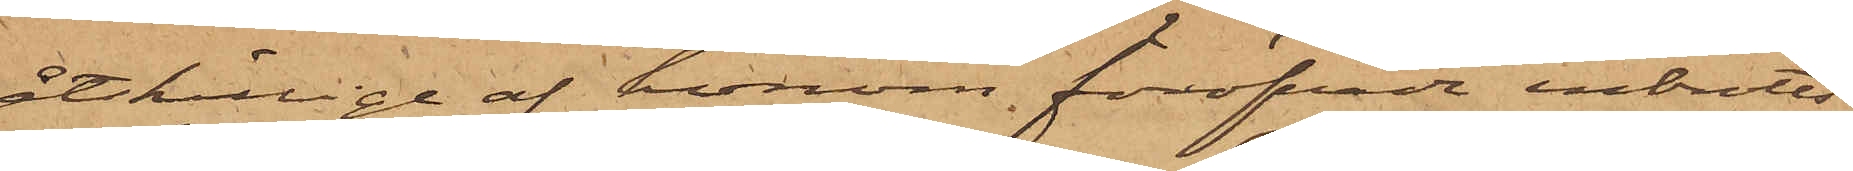åtskillige af honom föröfvade inbrotts¬
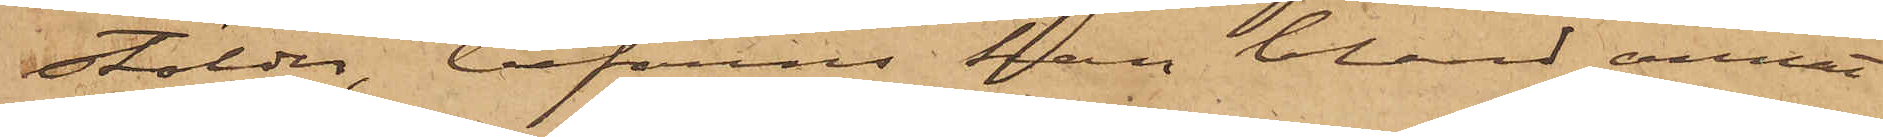stölder, befanns han bland annat
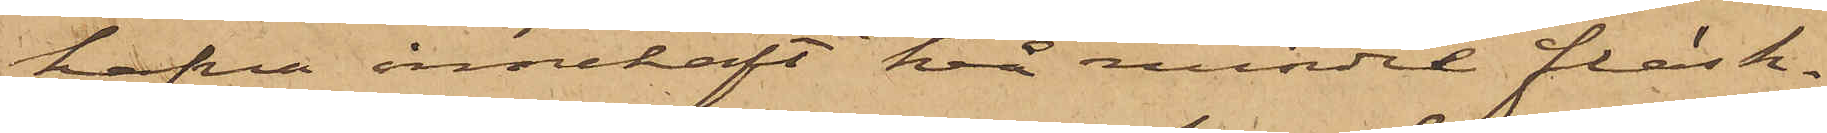hafva innehaft två mindre fläsk¬
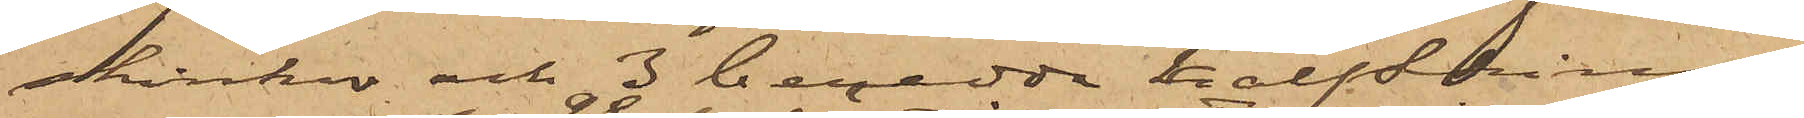skinkor och 3 beredda kalfskinn
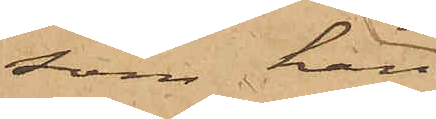som han
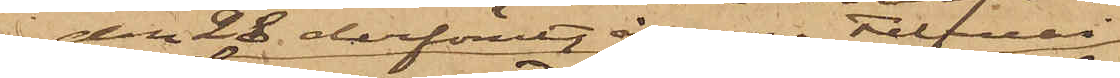den 28 derförutgångne Februari
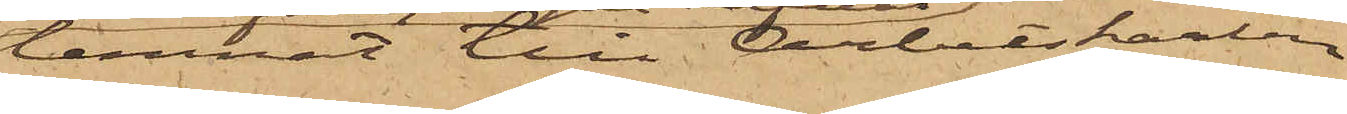lemnat till Arbetskarlen
